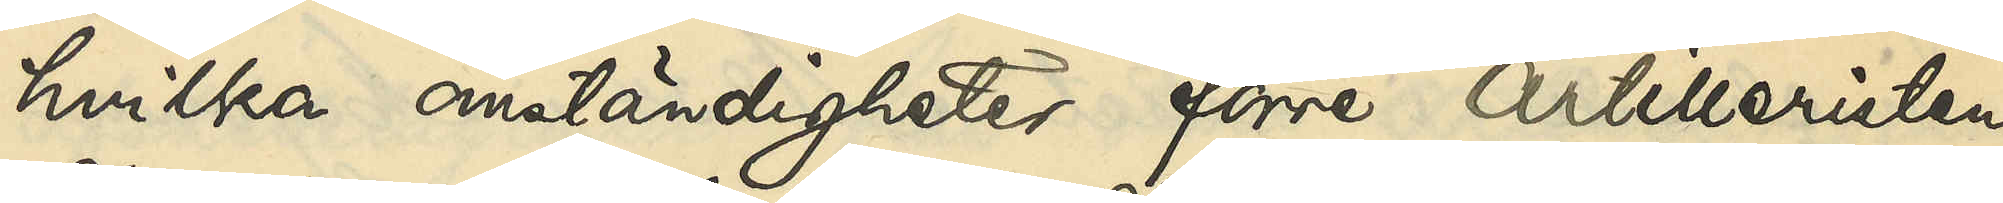hvilka omständigheter förre artilleristen
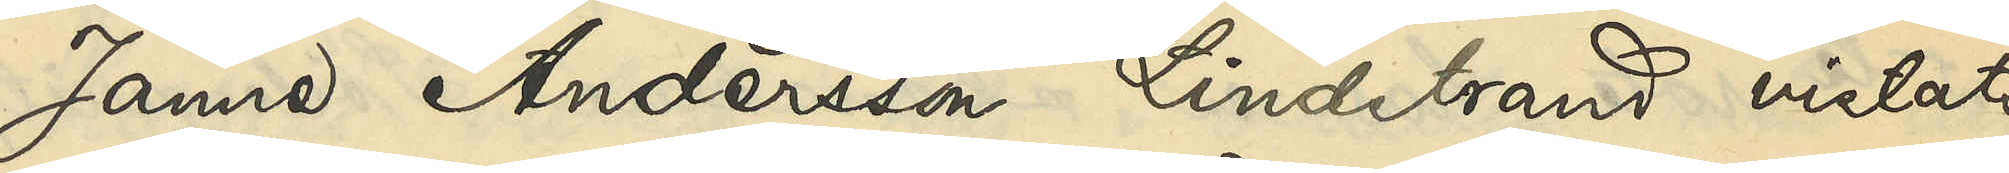Janne Andersson Lindstrand vistats
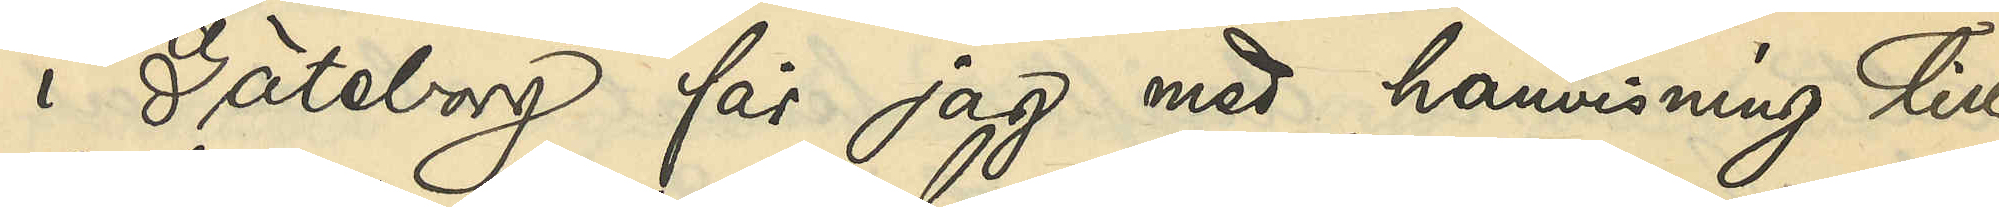i Göteborg får jag med hänvisning till
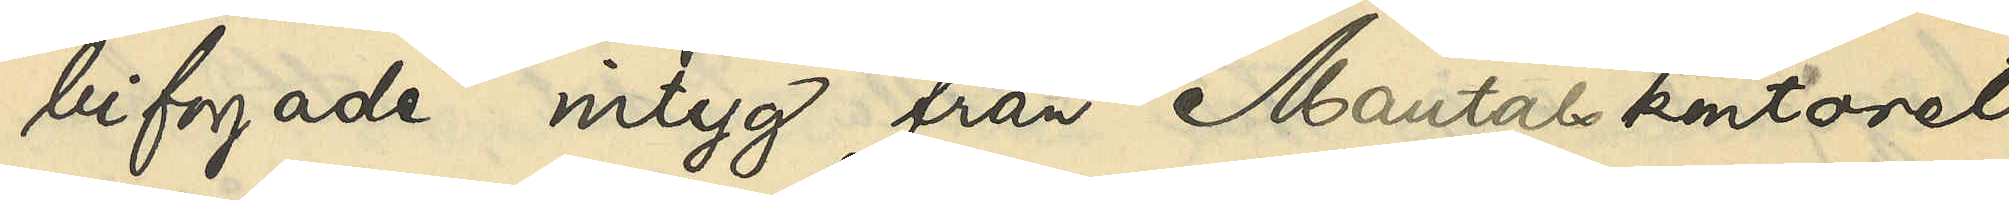bifogade intyg från Mantalskontoret
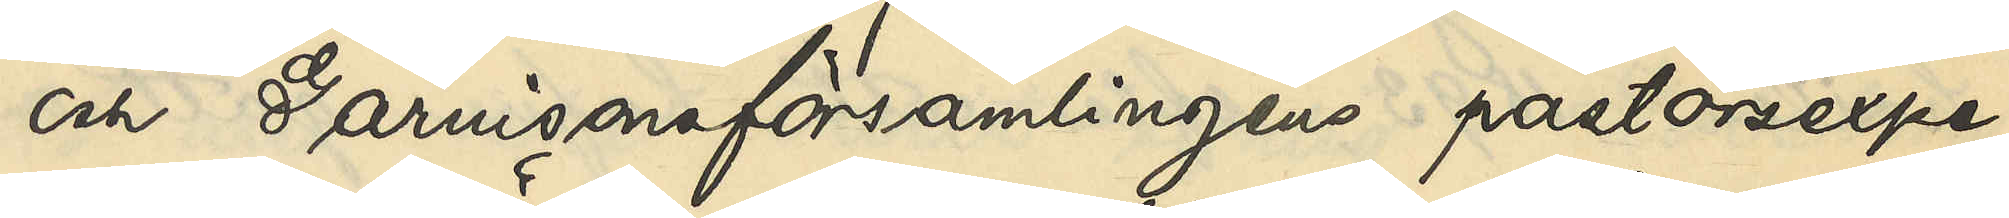och Garnisonsförsamlingens pastorsexpe¬
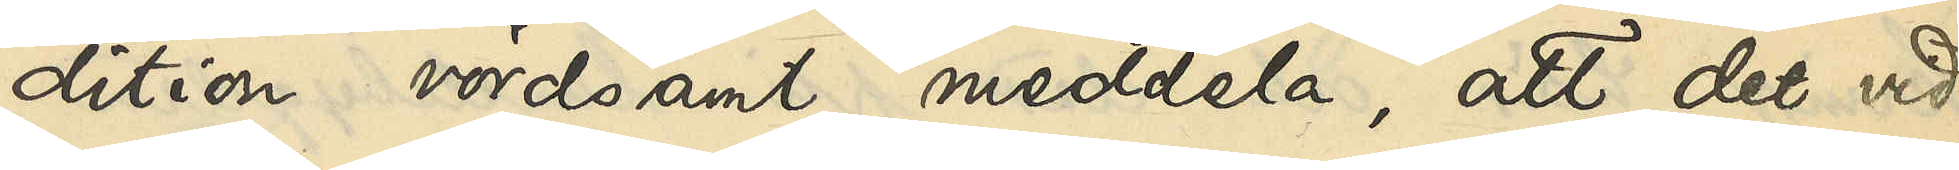dition vördsamt meddela, att det vid
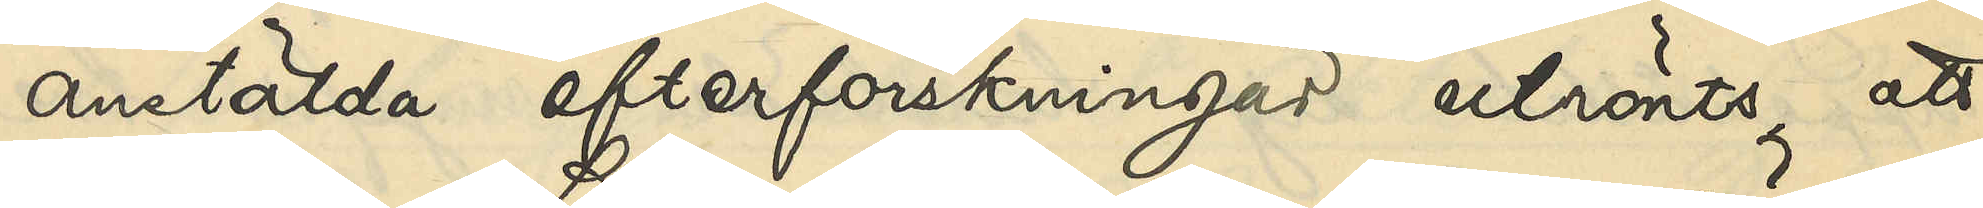anstälda efterforskningar utrönts, att
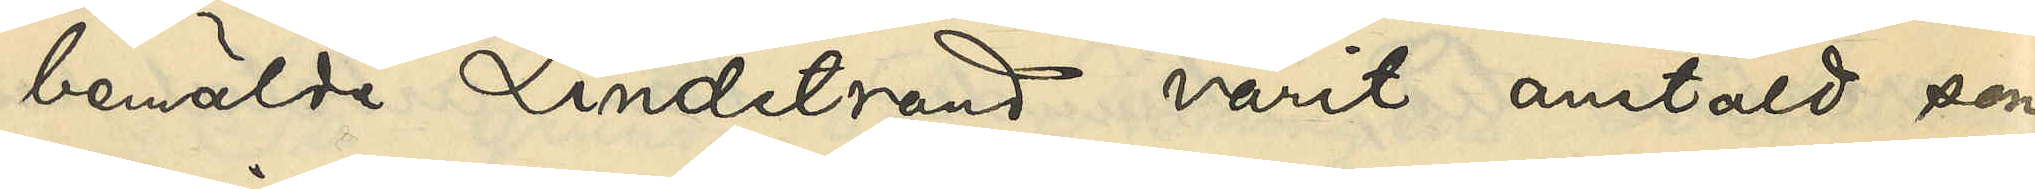bemälde Lindstrand varit anstäld som
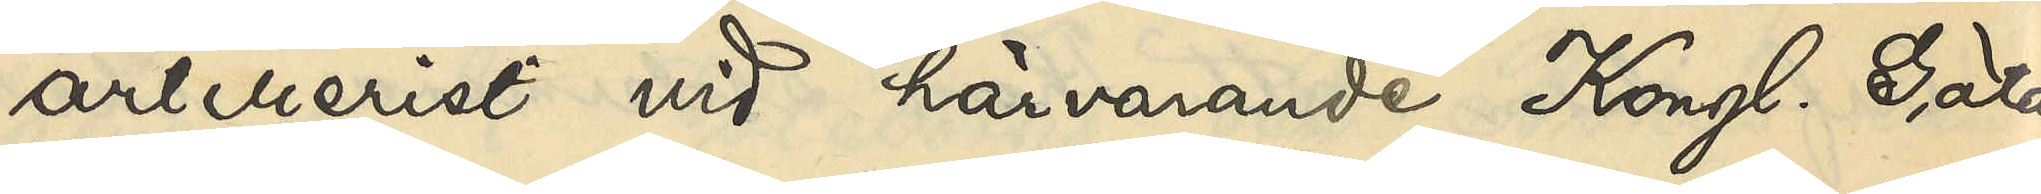artillerist vid härvarande Kongl. Göta
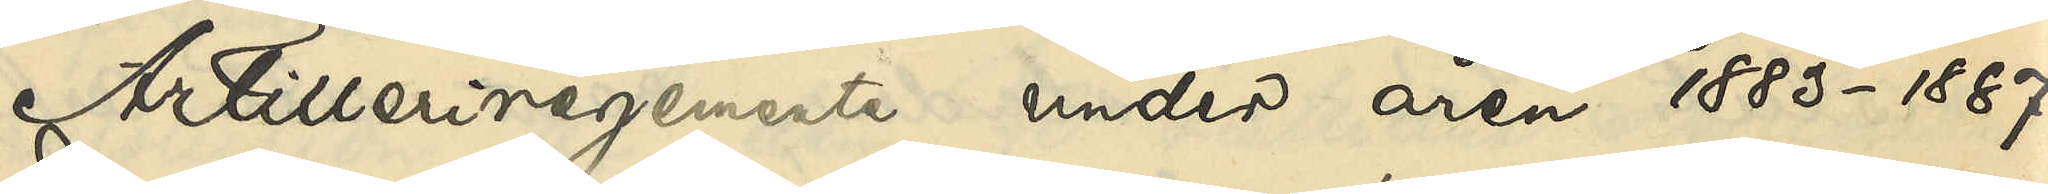Artilleriregemente under åren 1883-1887.
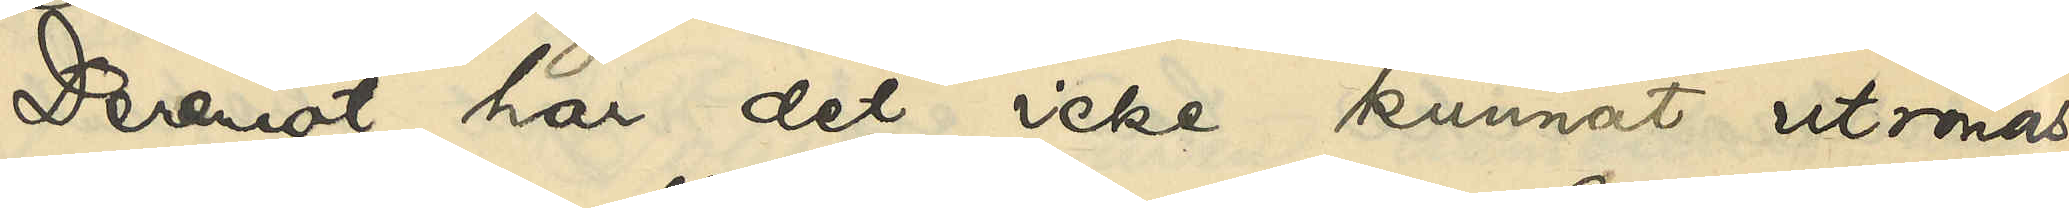Deremot har det icke kunnat utrönas
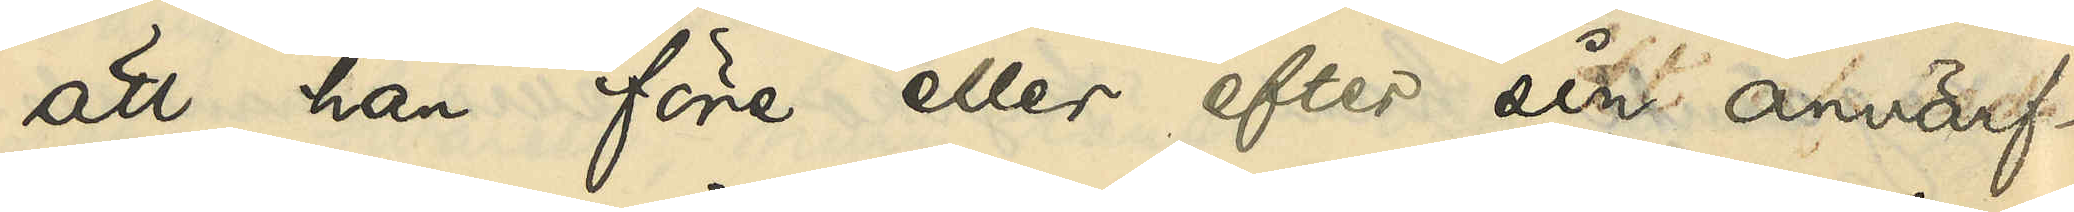att han före eller efter sin anvärf¬
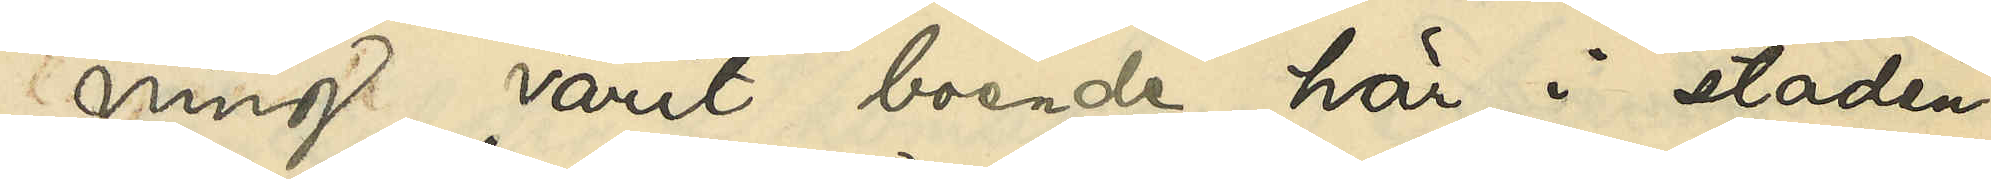ning varit boende här i staden.
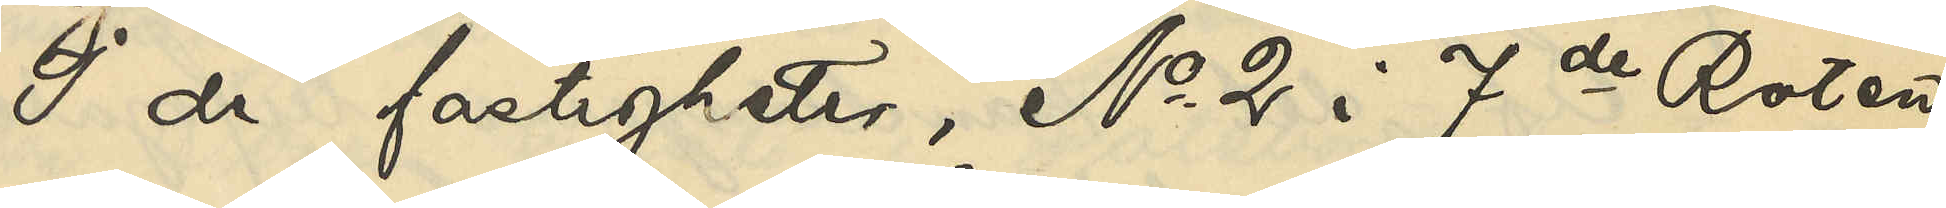I de fastigheter, No 2 i 7de Roten
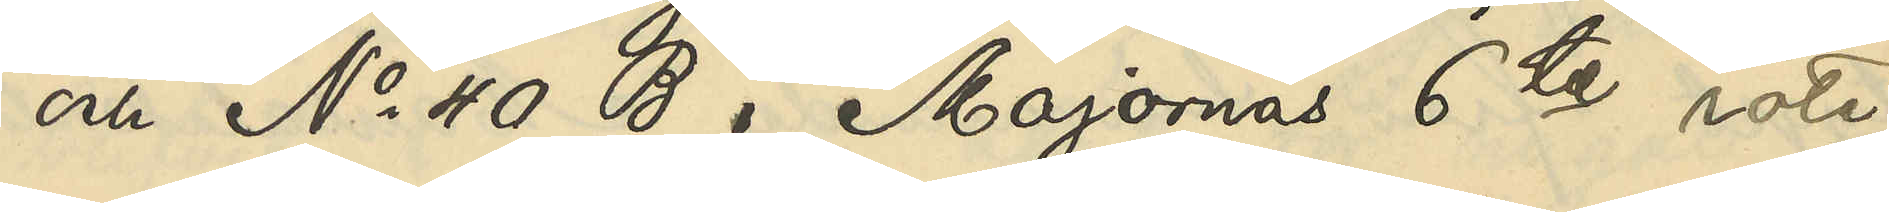och No 40 B i Majornas 6te rote,
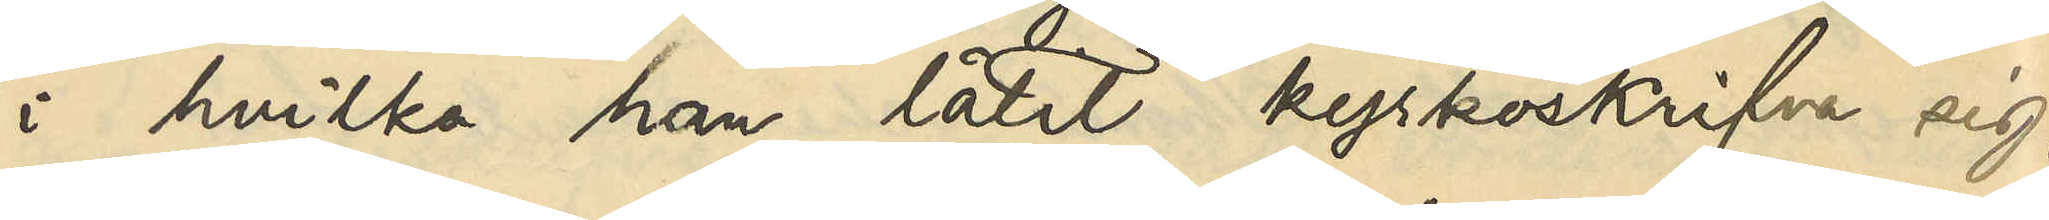i hvilka han låtit kyrkoskrifva sig,
